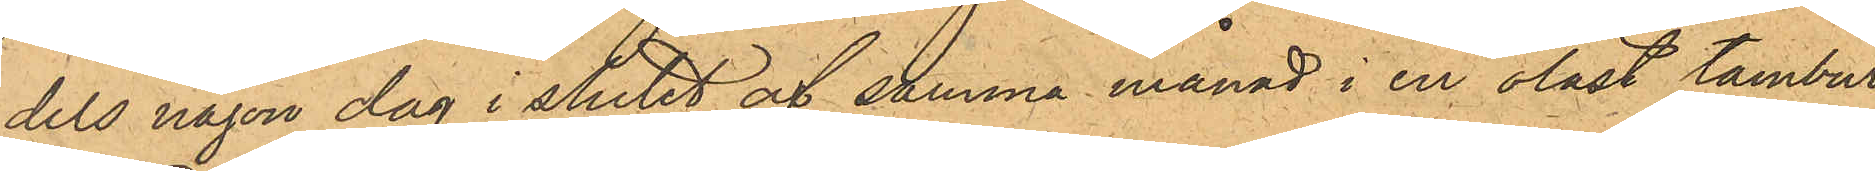dels någon dag i stulet af samma månad i en olåst tambur
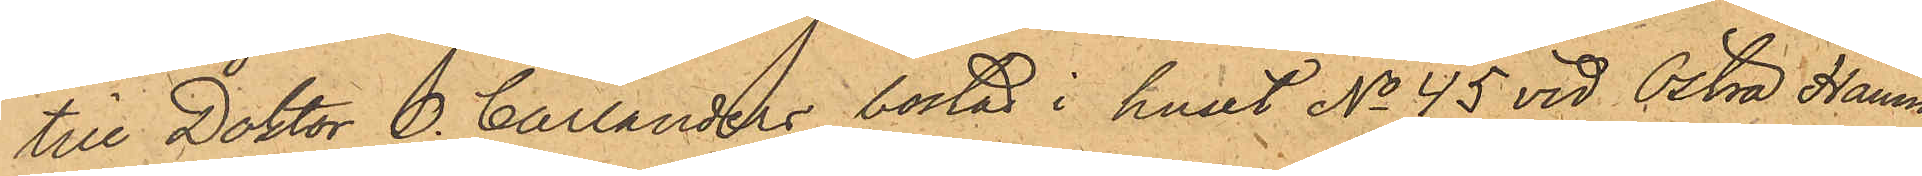till Doktor O. Carlanders bostad i huset No 45 vid Östra Hamn¬
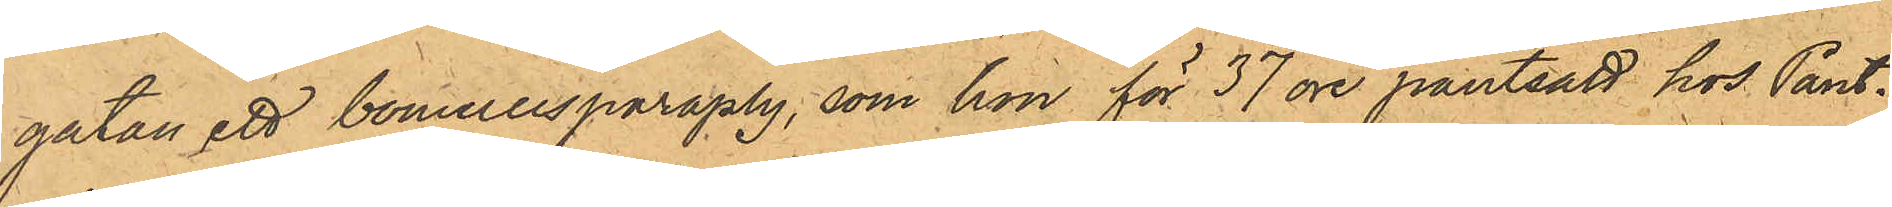gatan ett bomullsparaply, som hon för 37 öre pantsatt hos Pant¬
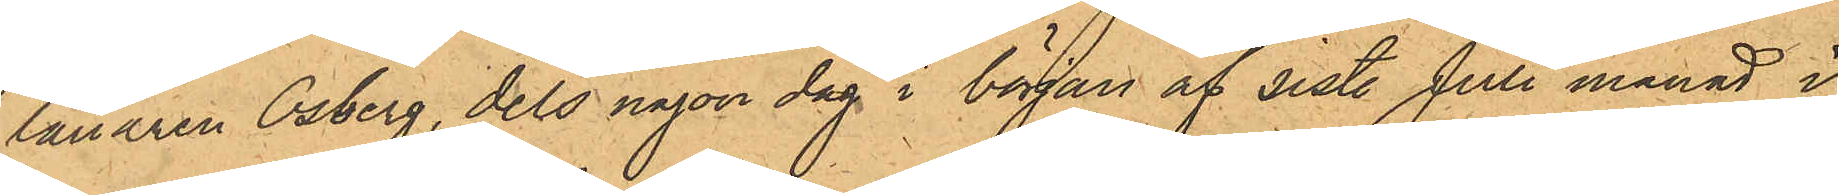lånaren Osberg, dels någon dag i början af sist. Juli månad i
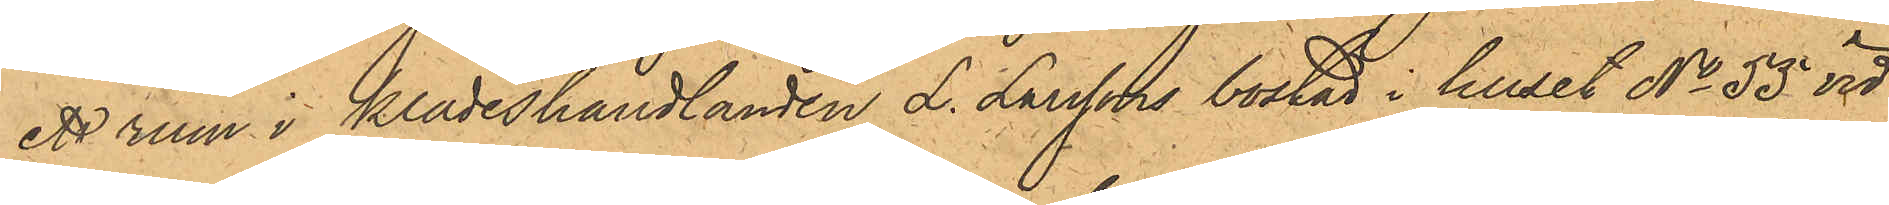ett rum i klädeshandlanden L. Larssons bostad i huset No 55 vid
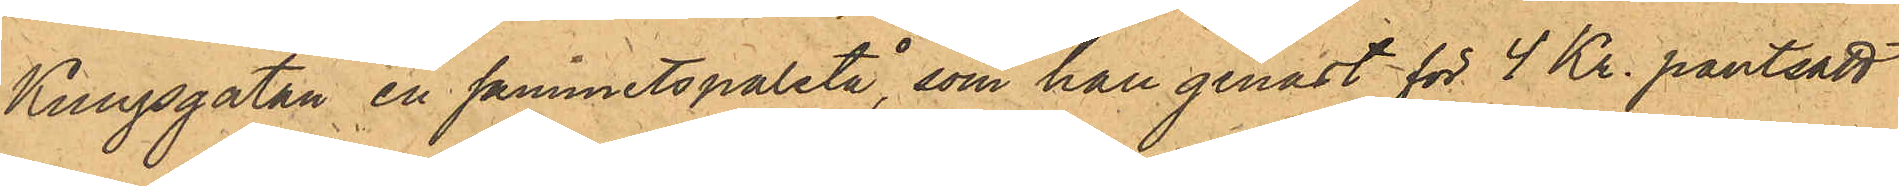Kungsgatan en sammetspaletå, som han genast för 4 Kr. pantsatt
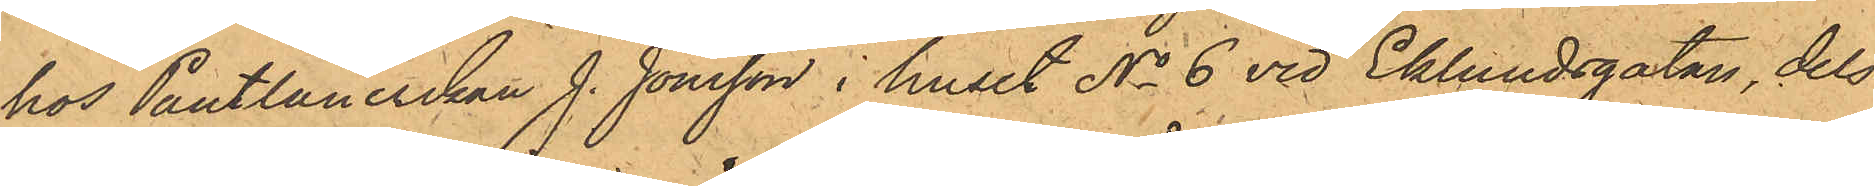hos Pantlånerskan J. Jonsson i huset No 6 vid Eklundsgatan, dels
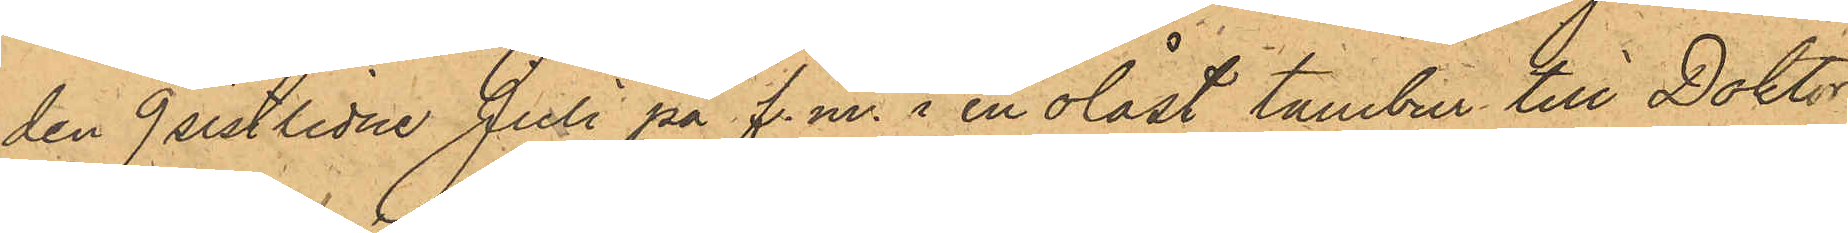den 9 sistlidne Juli på f.m. i en olåst tambur till Doktor
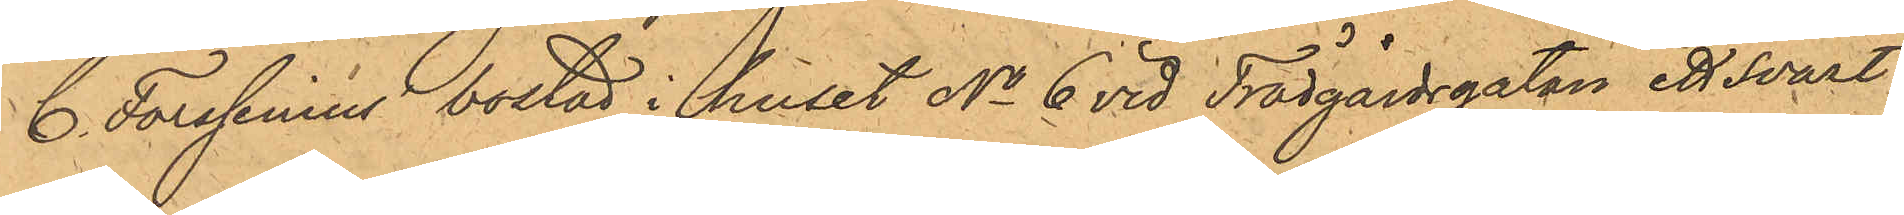C. Forssenius bostad i huset No 6 vid Trädgårdsgatan ett svart
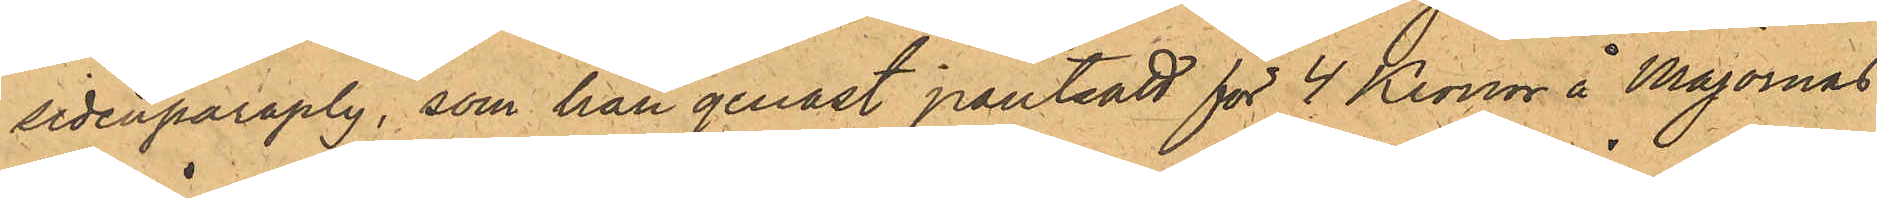sidenparaply, som han genast pantsatt för 4 Kronor å Majornas
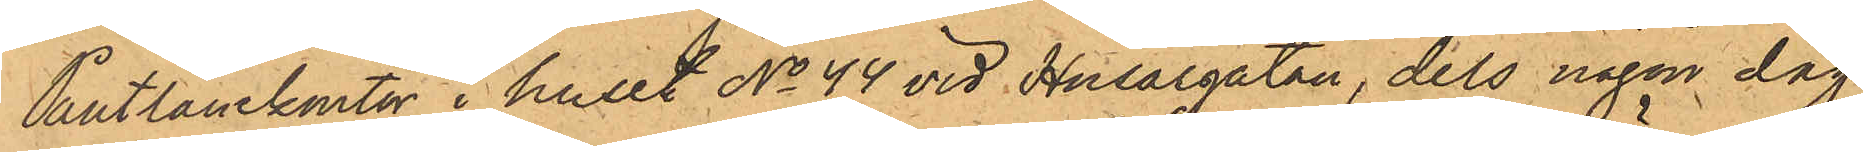Pantlånekontor i huset No 44 vid Husargatan, dels någon dag
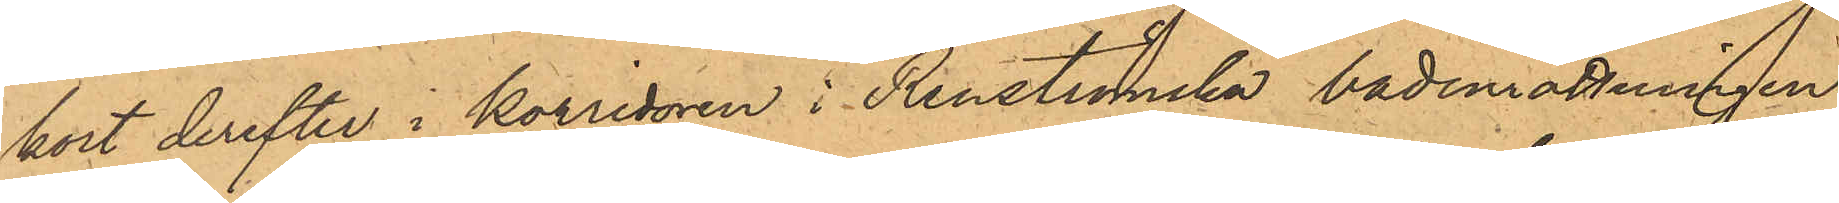kort derefter i korridoren i Renströmska badinrättningen
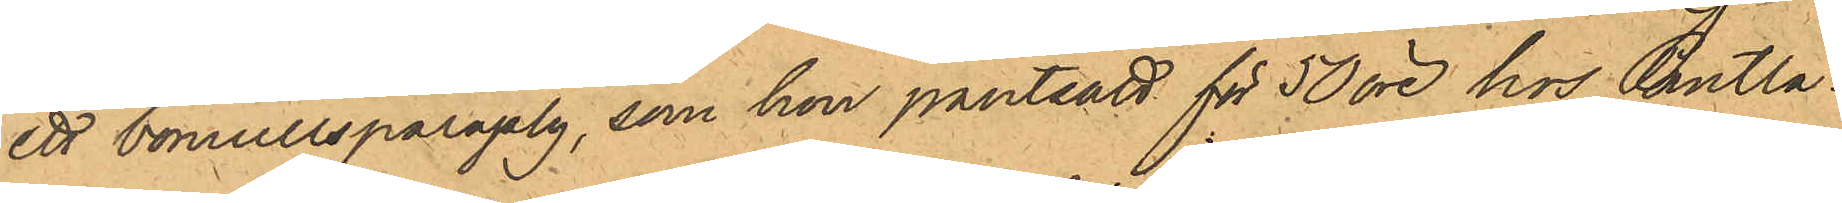ett bomullsparaply, som hon pantsatt för 50 öre hos Pantlå¬
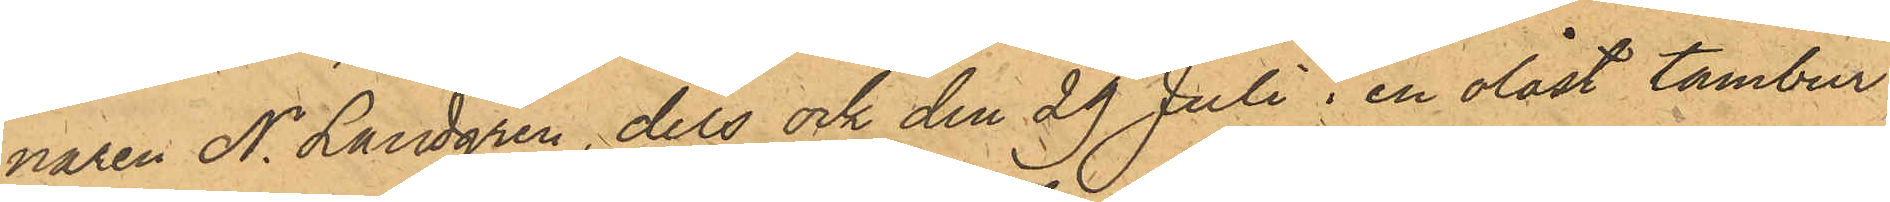naren N. Landgren, dels ock den 29 Juli i en olåst tambur
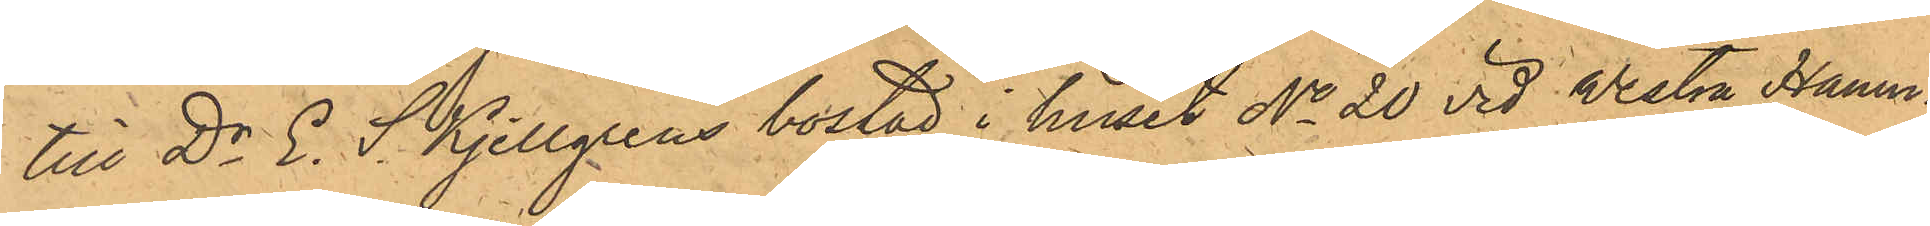till Dr E. S. Kjellgrens bostad i huset No 20 vid Westra Hamn¬
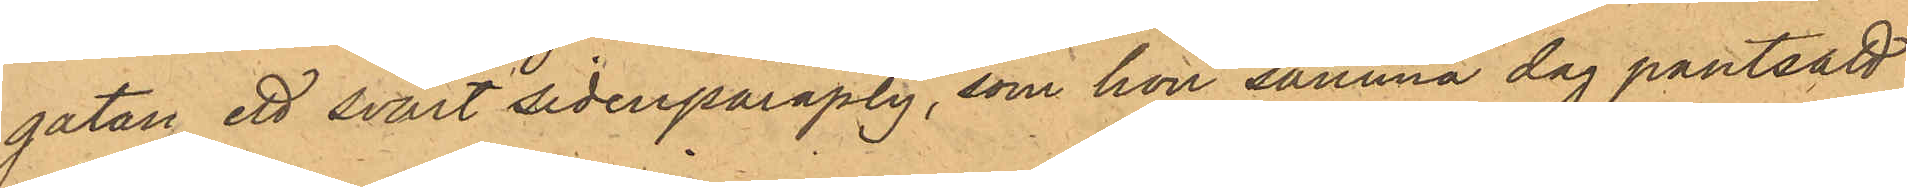gatan ett svart sidenparaply, som hon samma dag pantsatt
